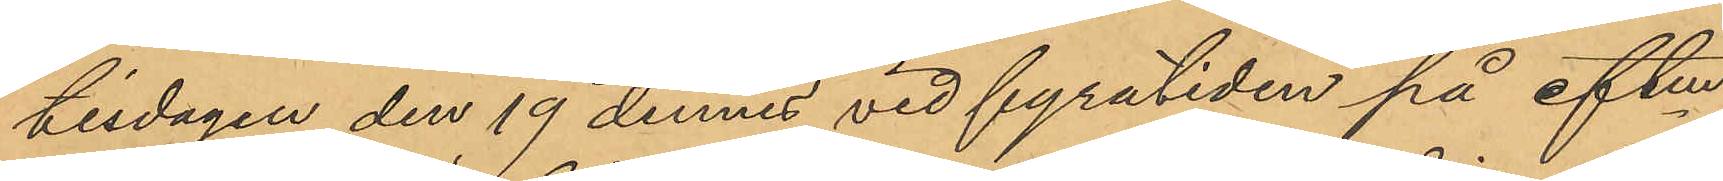tisdagen den 19 dennes vid fyratiden på eftm
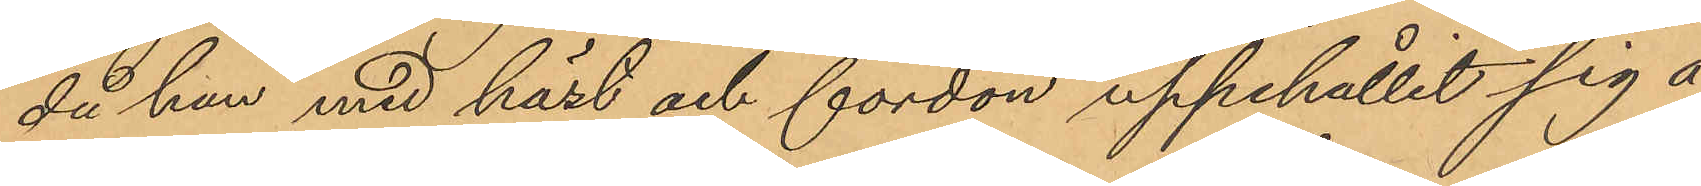då han med häst och fordon uppehållit sig å
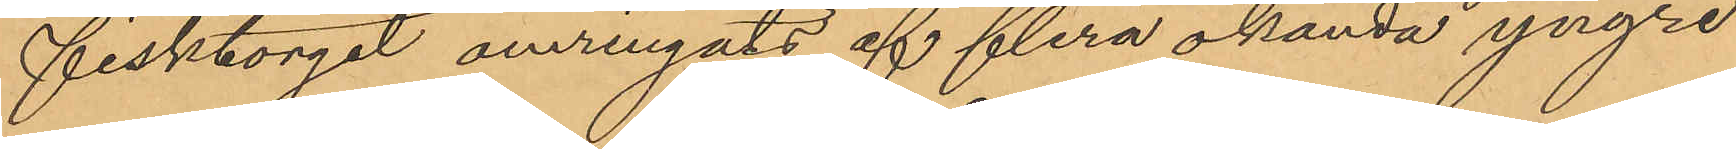Fisktorget omringats af flera okända yngre
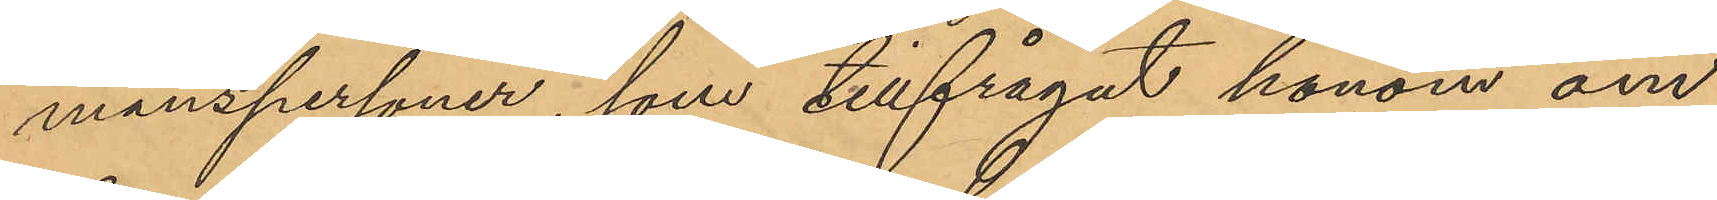manspersoner, som tillfrågat honom om
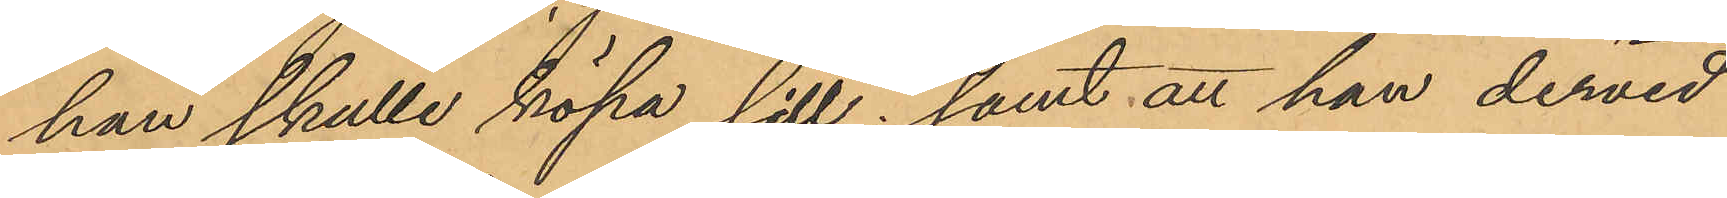han skulle köpa sill; samt att han dervid
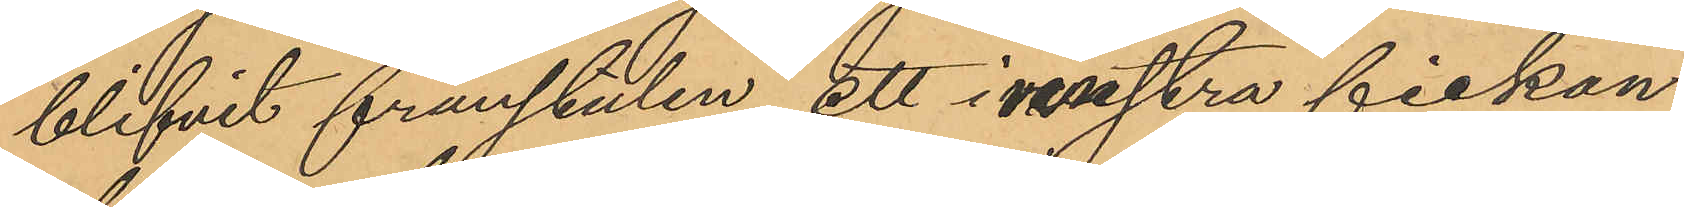blifvit frånstulen ett i vänstra fickan
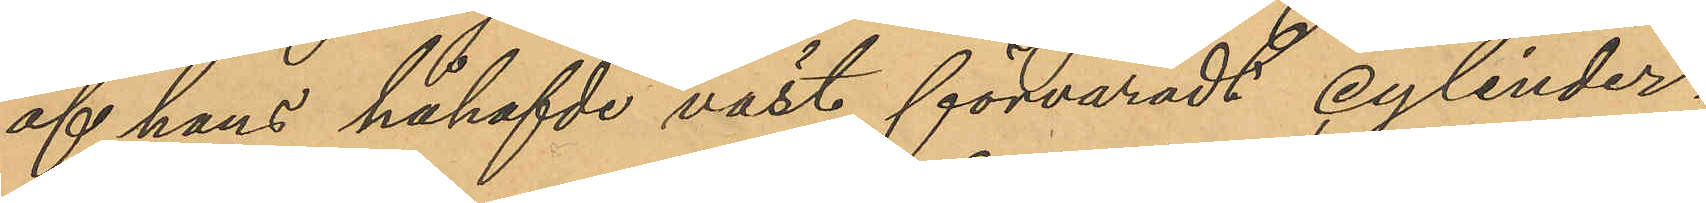af hans påhafvde väst förvaradt cylinder¬
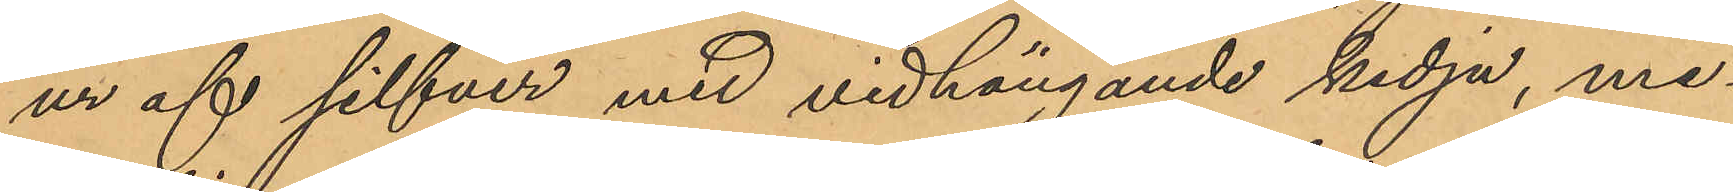ur af silfver med vidhängande kedja, me¬
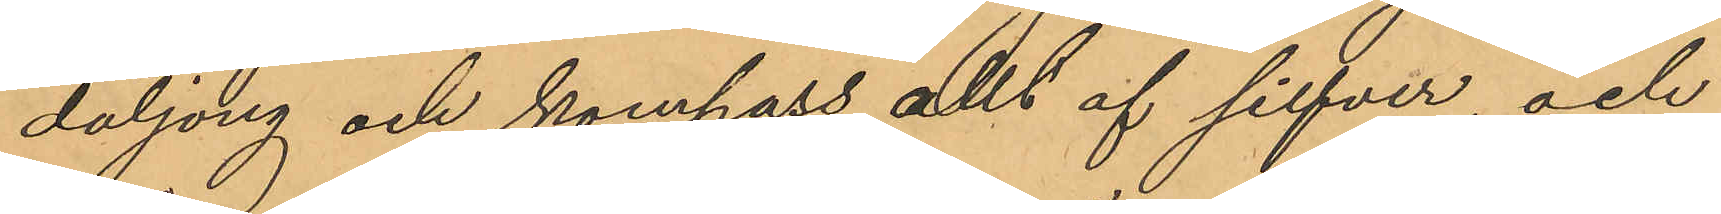daljong och kompass allt af silfver, och
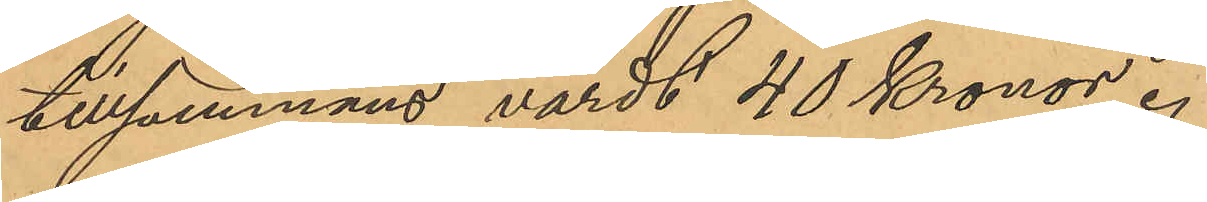tillsammans värdt 40 Kronor.
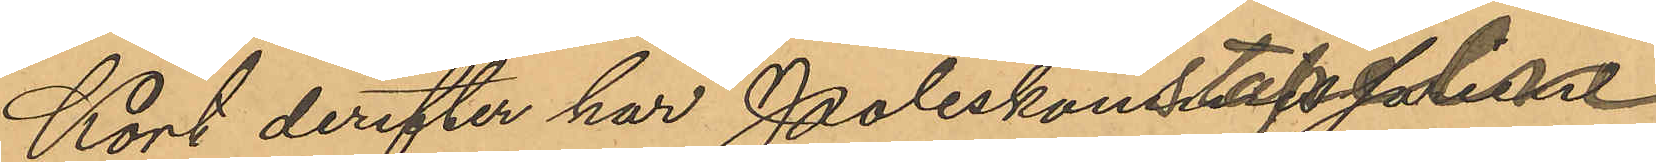Kort derefter har Poliskonstapelnl
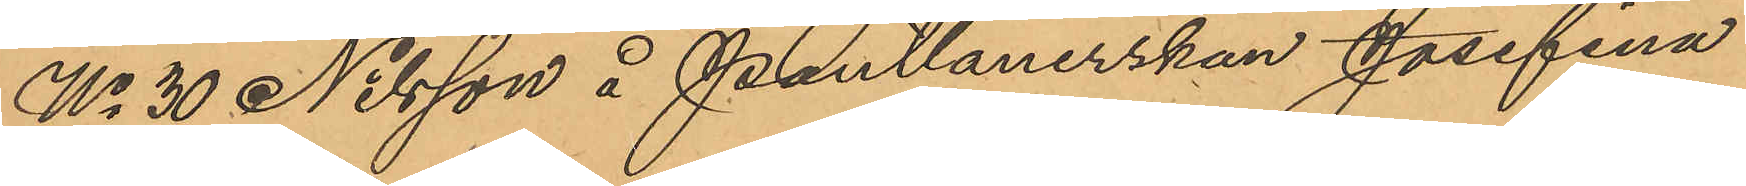No 30 Nilsson å Pantlånerskan Josefina
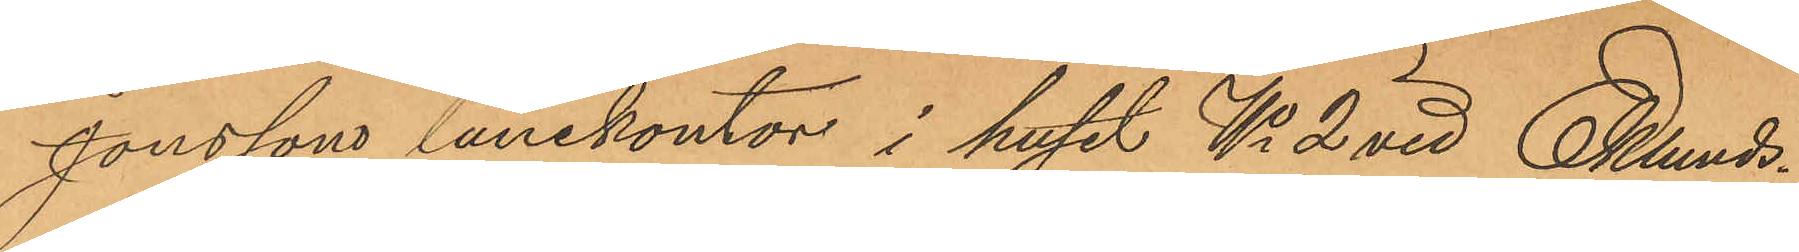Jonssons lånekontor i huset No 2 vid Eklunds¬
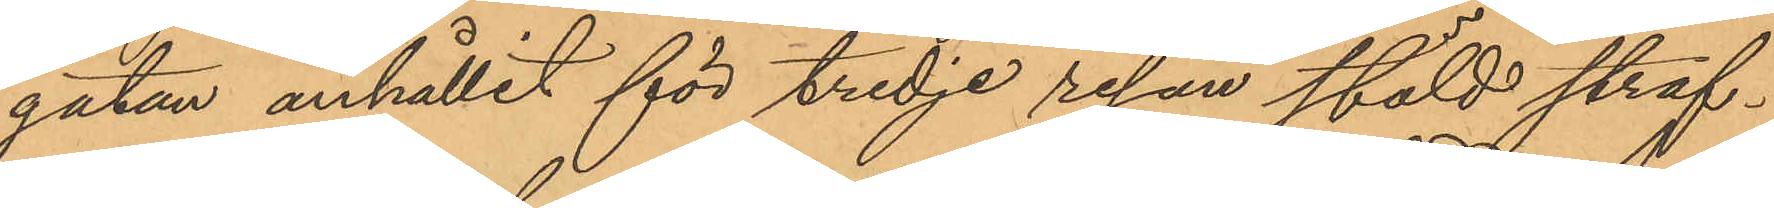gatan anhållit för tredje resan stöld straf¬
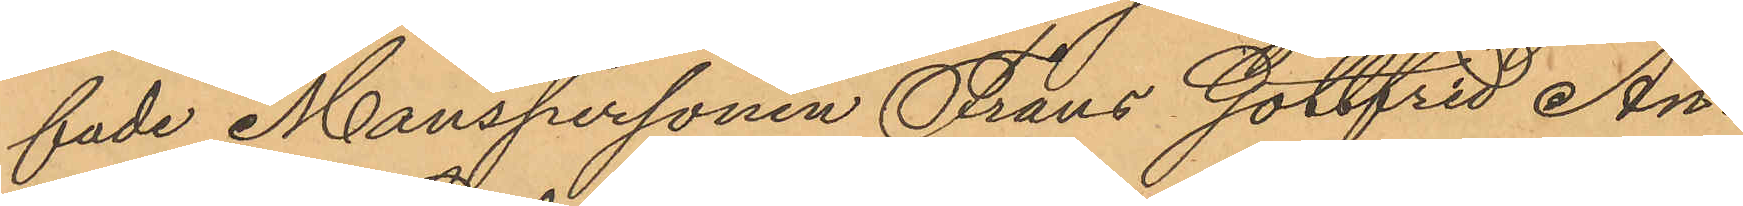fade Manspersonen Frans Gottfrid An¬
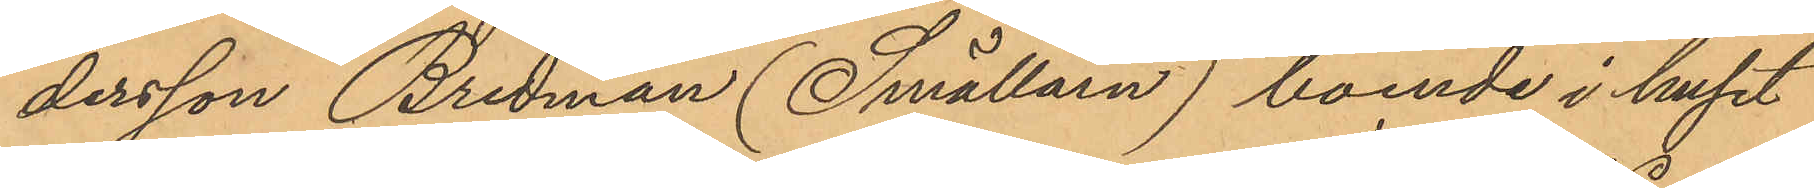dersson Bredman (Smällarn), boende i huset
